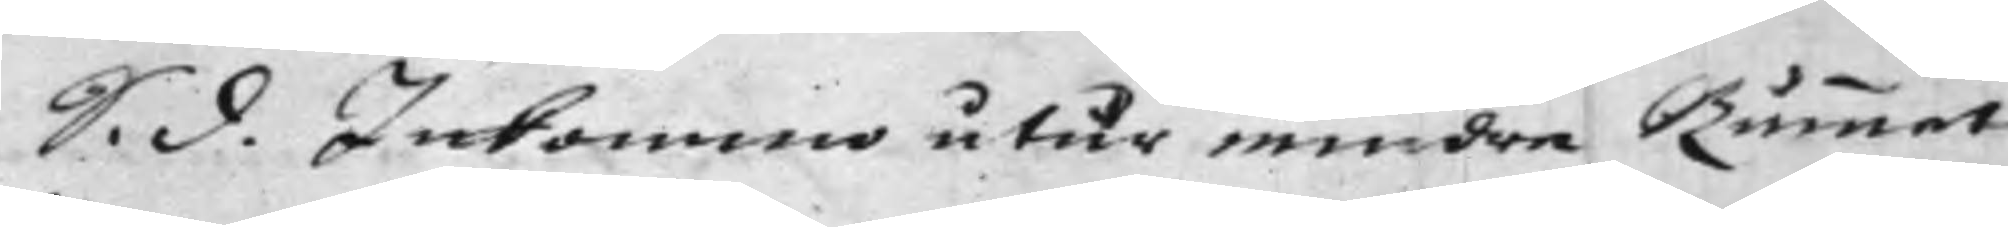 S. d. Inkommo utur mindre Rummet
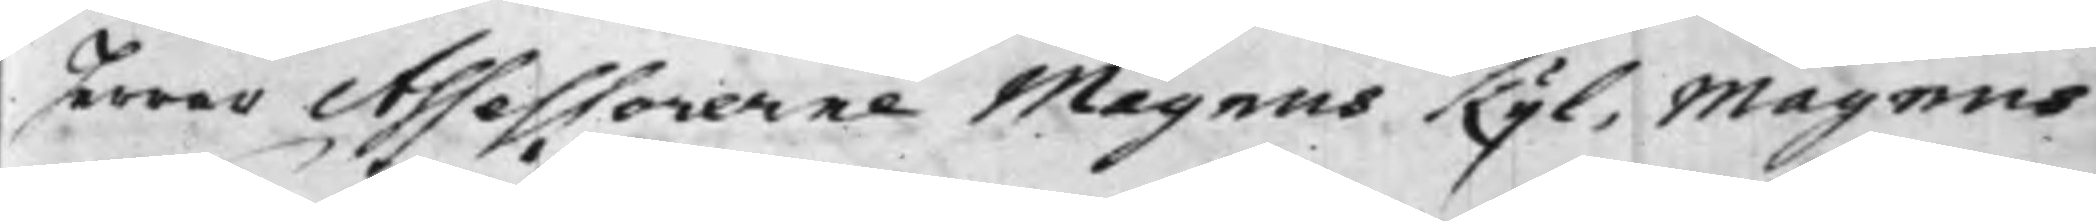Herrar Assessorerne Magnus Kijl, Magnus
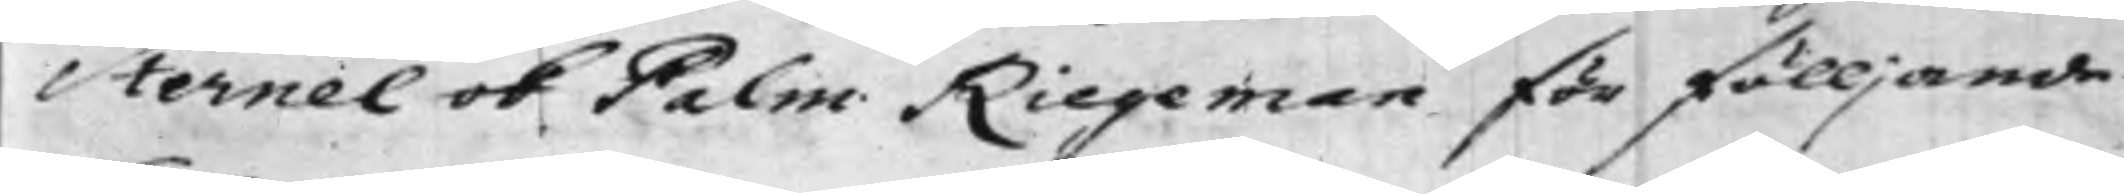Sternel ok Palm Riegeman för fölljande
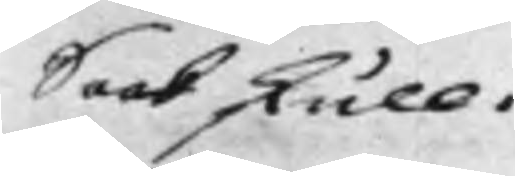Saak skull.
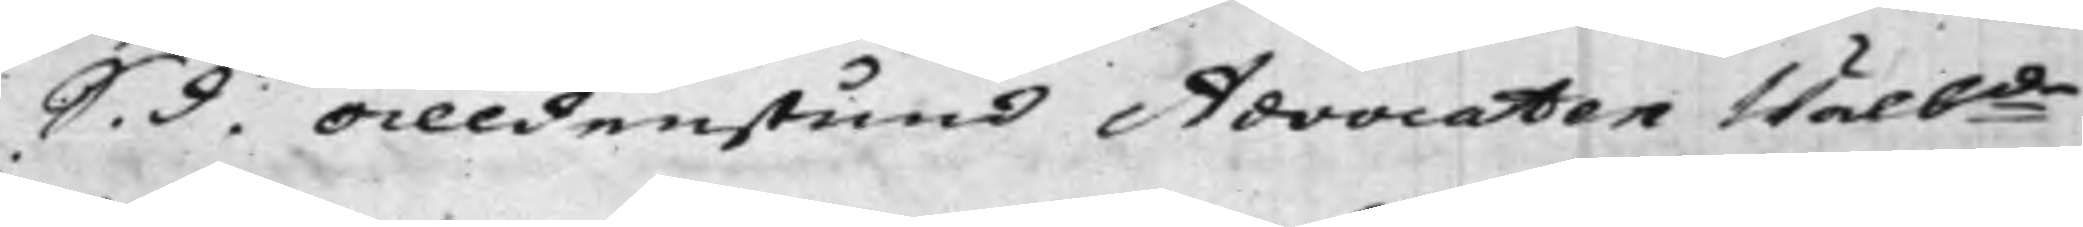S. d. Alldenstund Advocaten Wälb:de
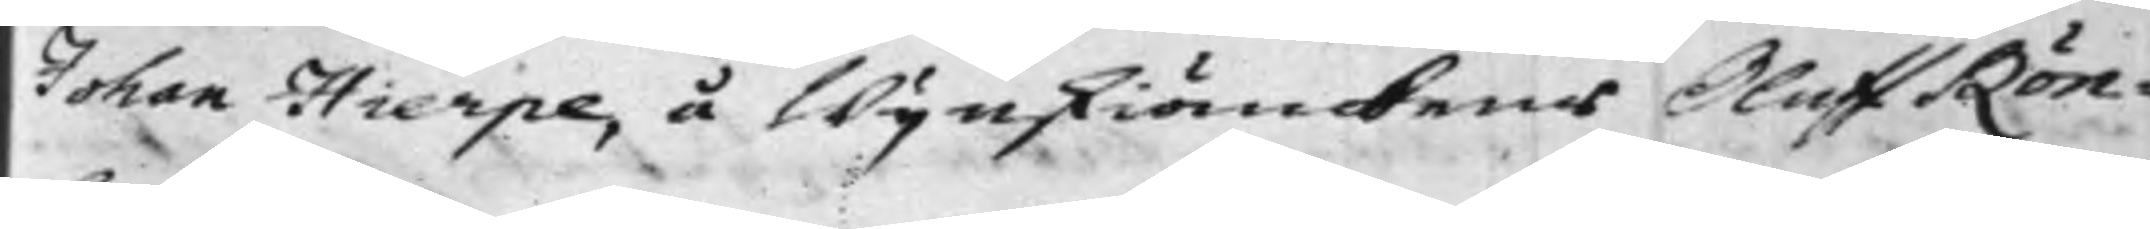Johan Hierpe, å Wijnskiänkens Oluff Rön¬
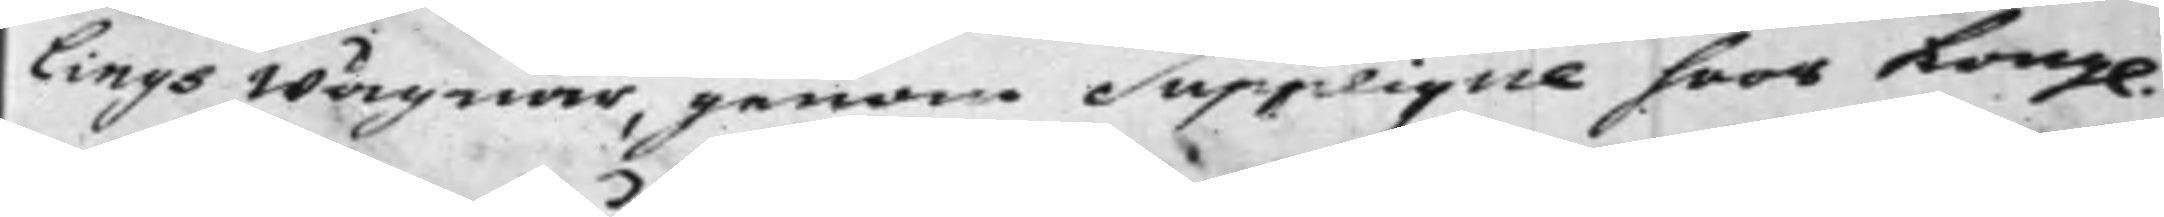lings Wägnar, genom Supplique hoos Kongl.
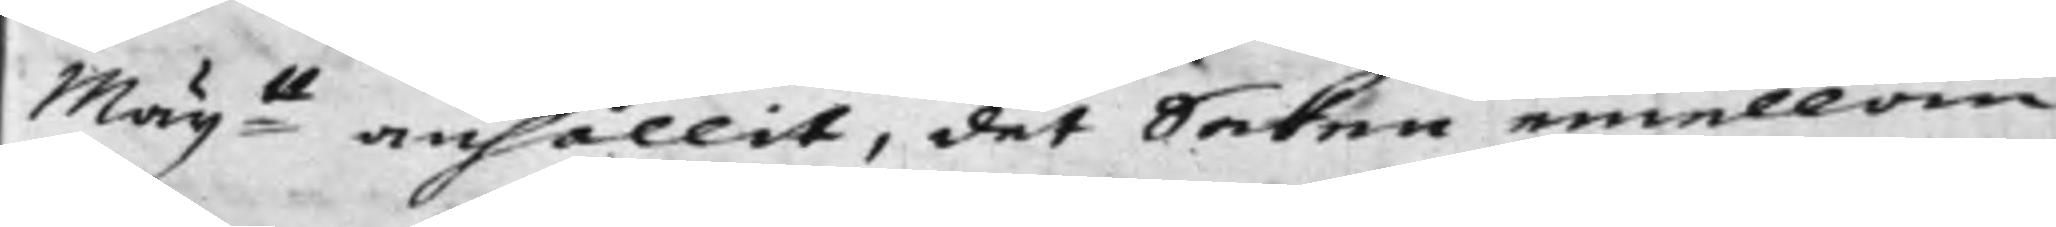Maij:tt anhållit, det Saken emellan
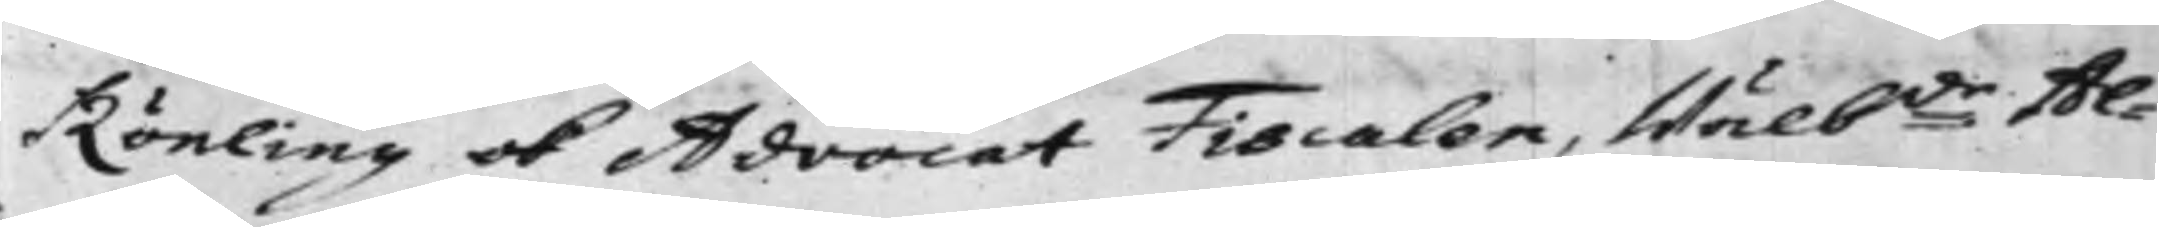Rönling ok Advocat FIscalen, Wälb:de Al¬
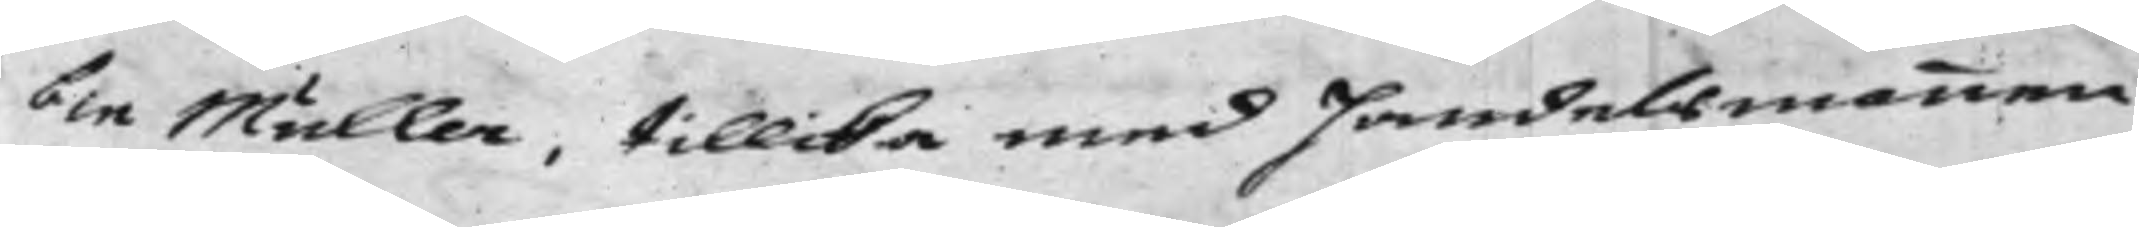bin Müller, tillika med Handelsmannen
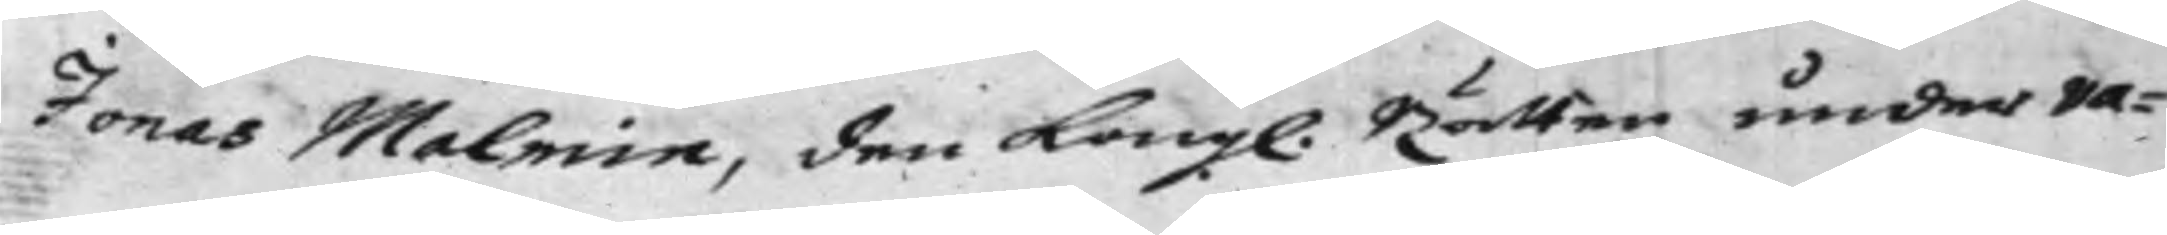Jonas Malmin. den Kongl. Rätten under va¬
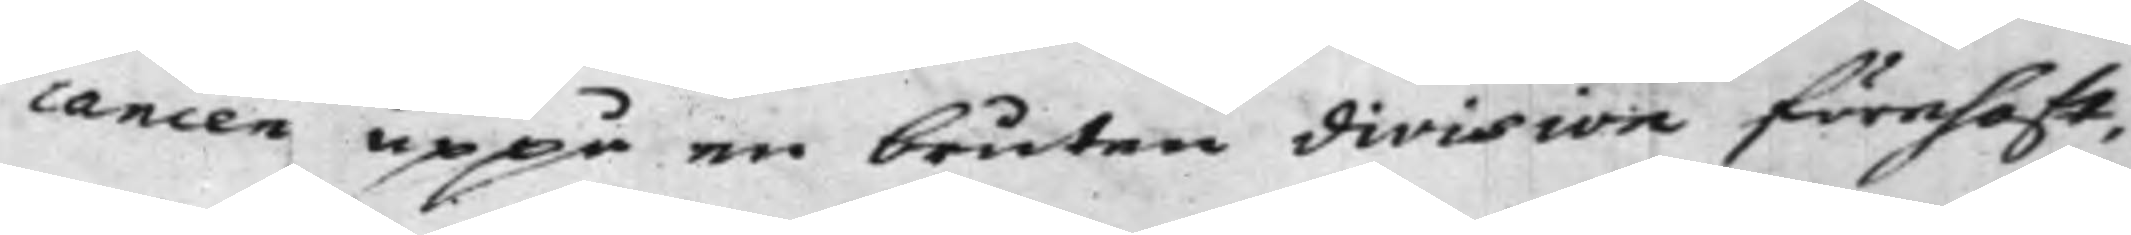vancen uppå en bruten division förehaft,
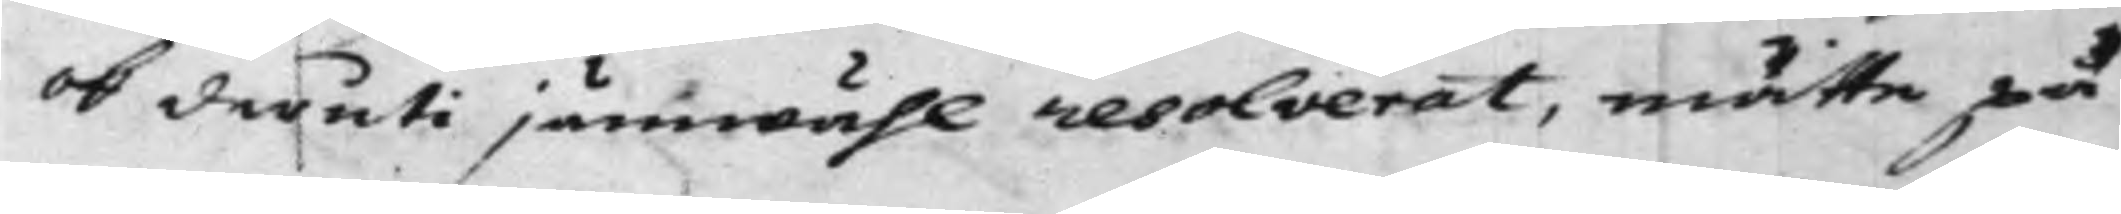ok deruti jämwähl resolverat, måtte på
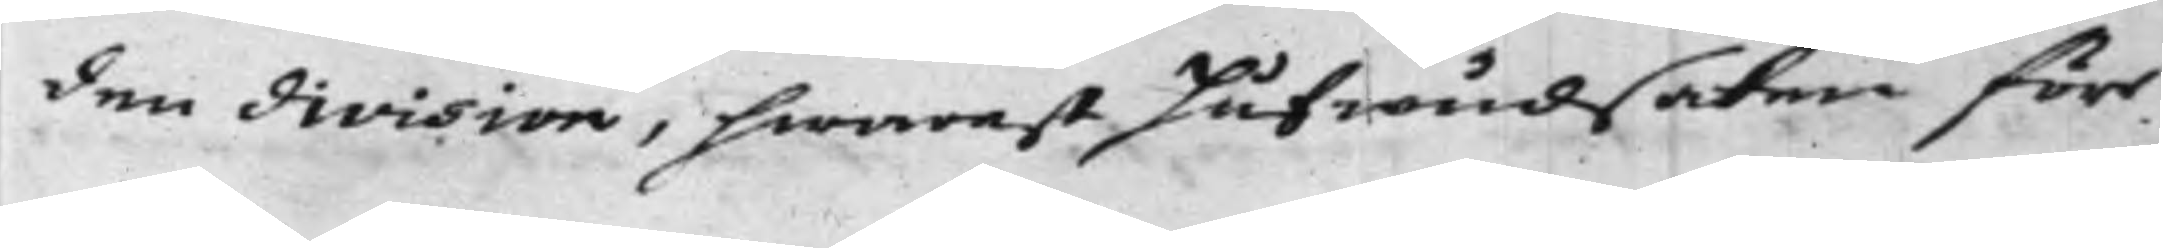den division, hwarest Hufwudsaken förr
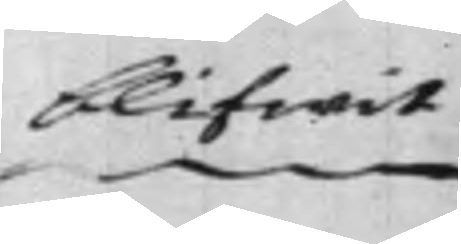blifwit
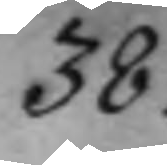38.
